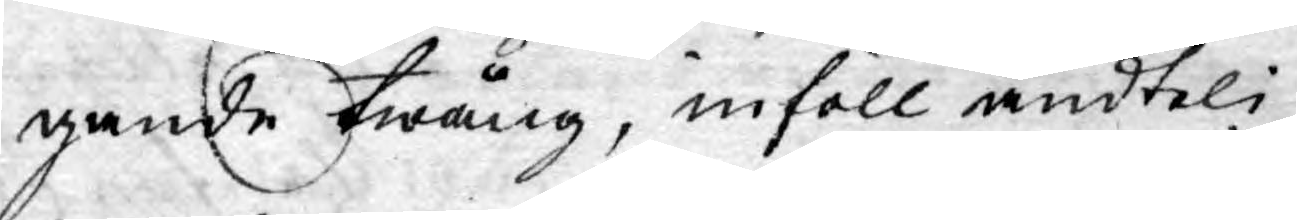gande twång, inföll ändteli¬
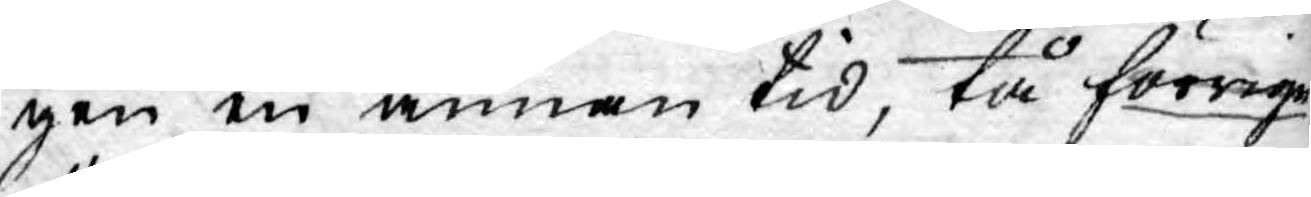gen en annan tid, tå förrige
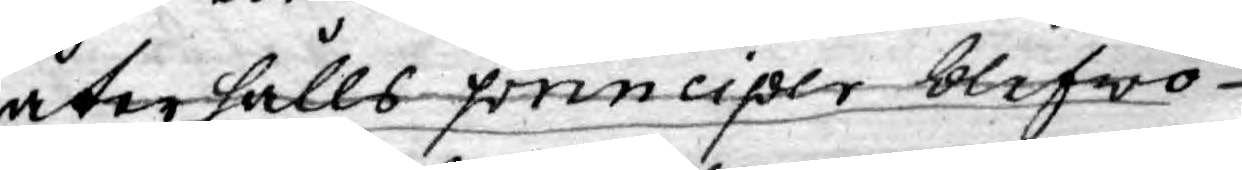återhålls principer blefwo
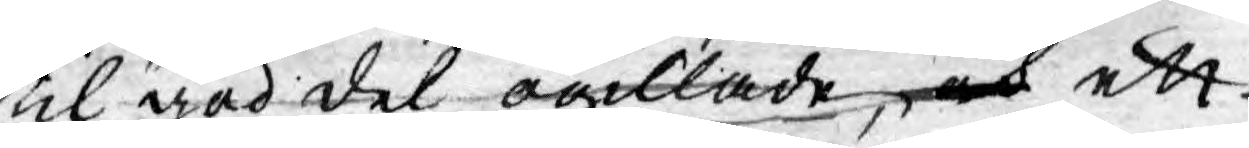til god del ogillade, och ett
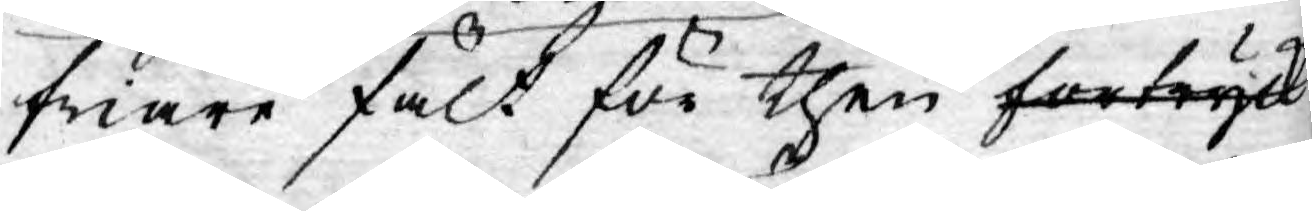friare fält för then förtryck
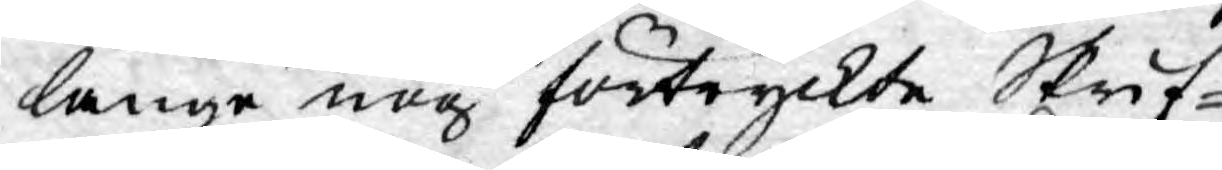länge nog förtryckte Skrif¬
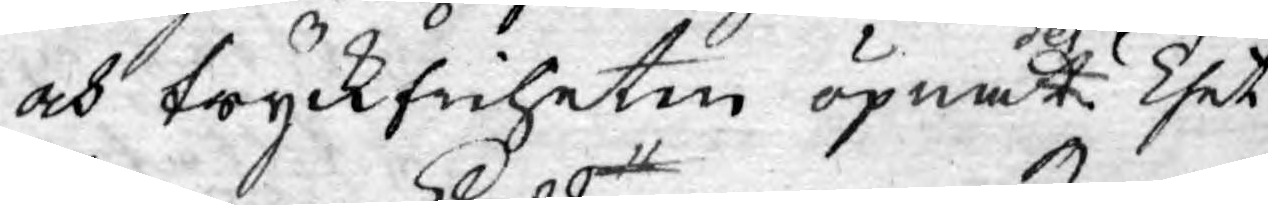och Tryckfriheten öpnatdes. Thet
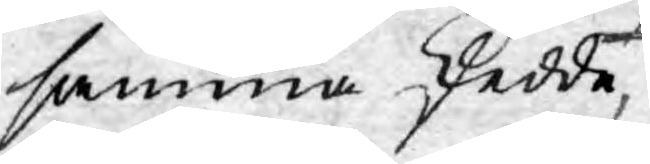samma skedde,
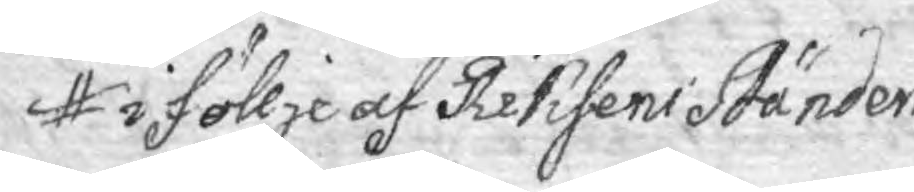i föllje af Riksens Ständers
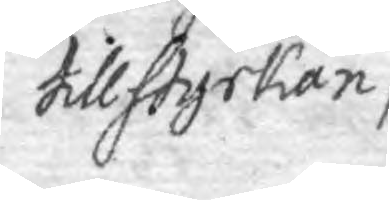tillstyrkan,
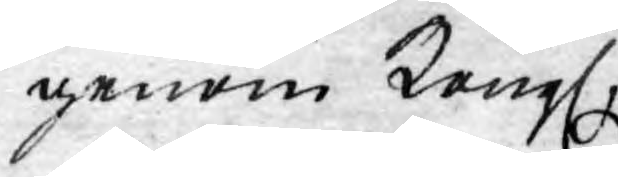genom Kongl.
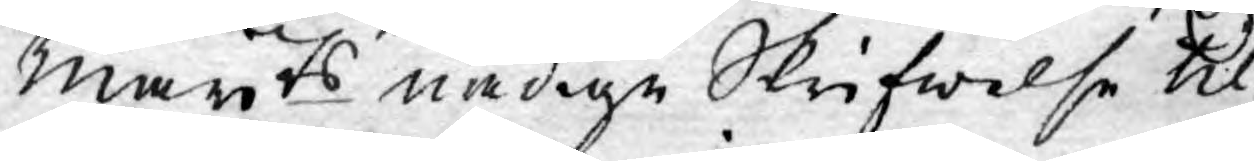Mayts nådige Skrifwelse til
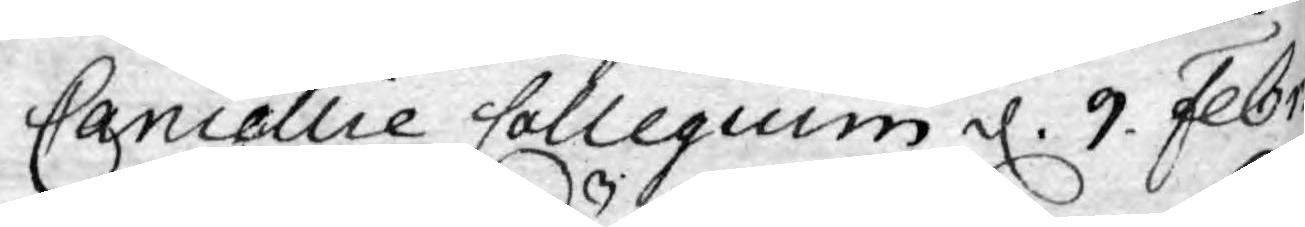Cancellie Collegium d. 9. Febr.
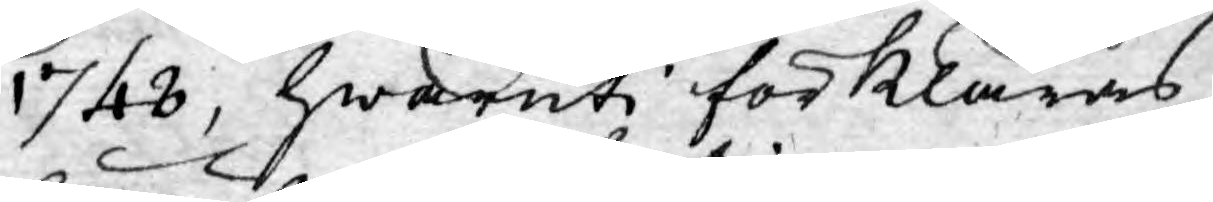1748, hwaruti förklaras,
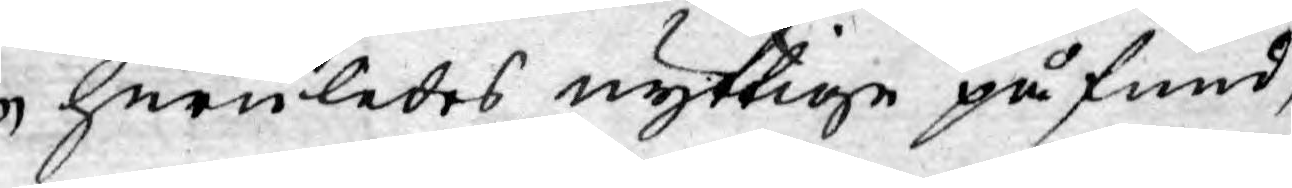huruledes nyttige påfund,
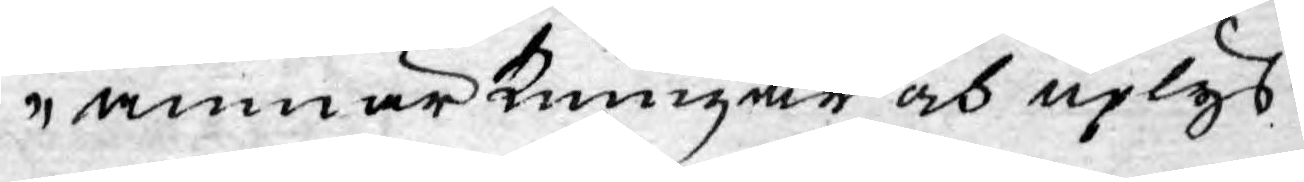anmärkningar och uplys¬
